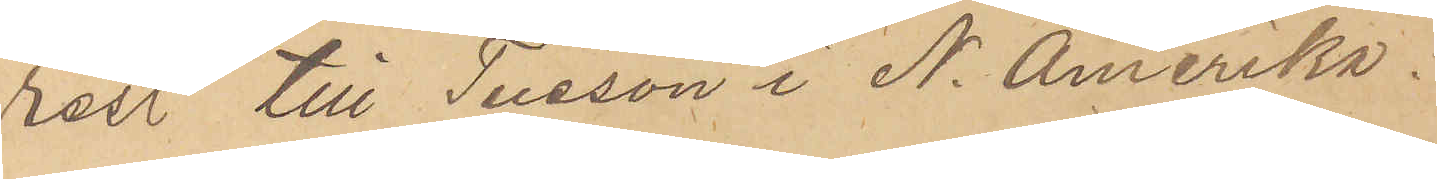rest till Tusson i N. Amerika.
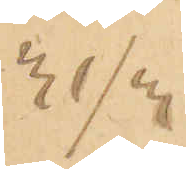31/3
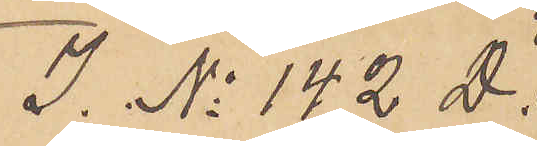I. No 142 D.
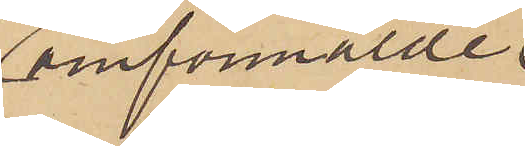omförmälde
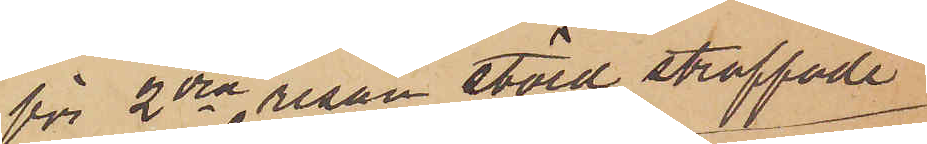för 2dra resan stöld straffade
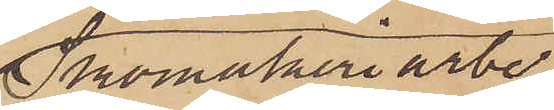Skomakeriarbe¬
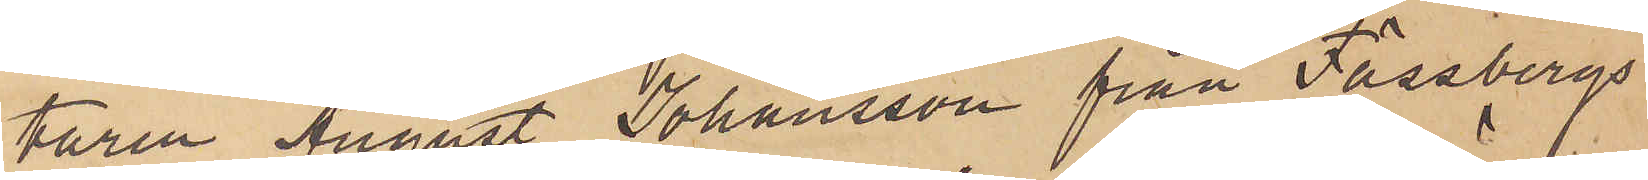taren August Johansson från Fässbergs
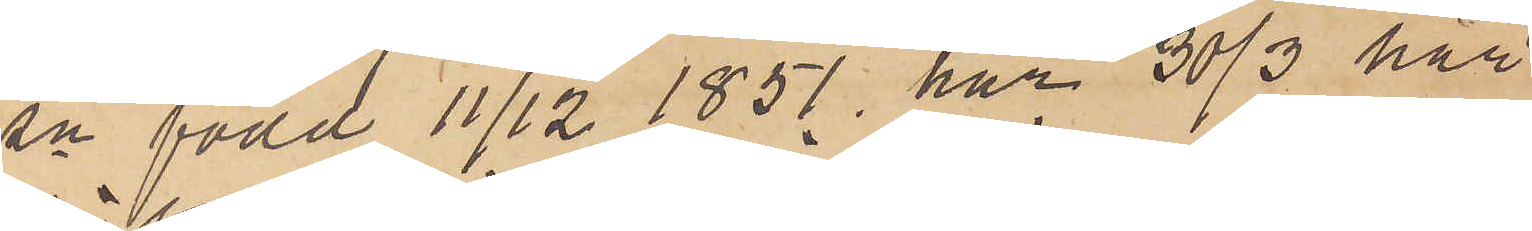sn född 11/12 1851, har 30/3 här
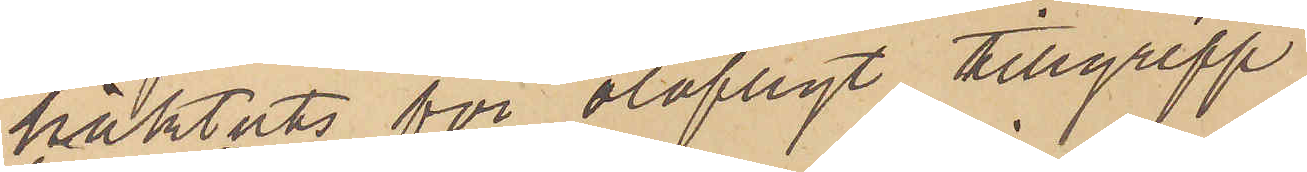häktats för olofligt tillgrepp.
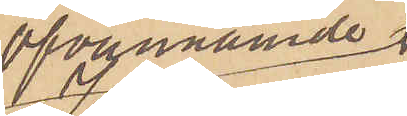Ofvannämnde
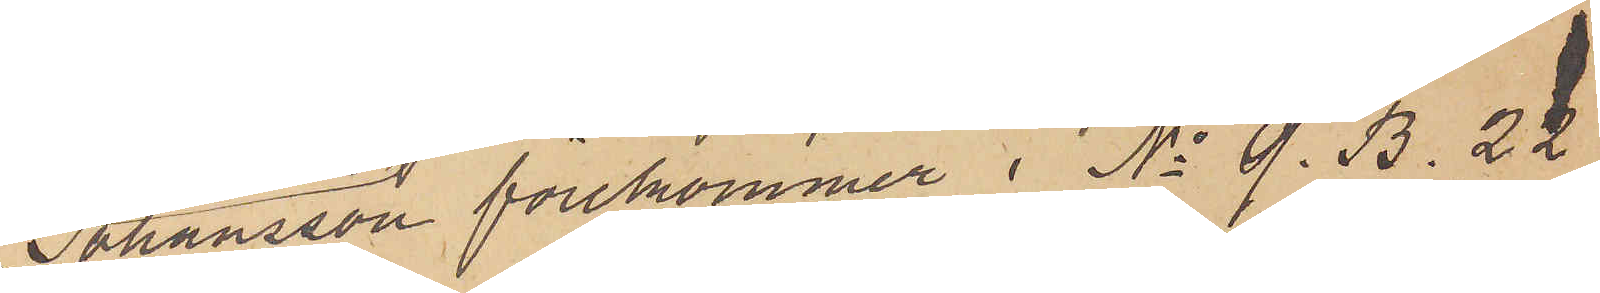Johansson förekommer i No 9. B. 22
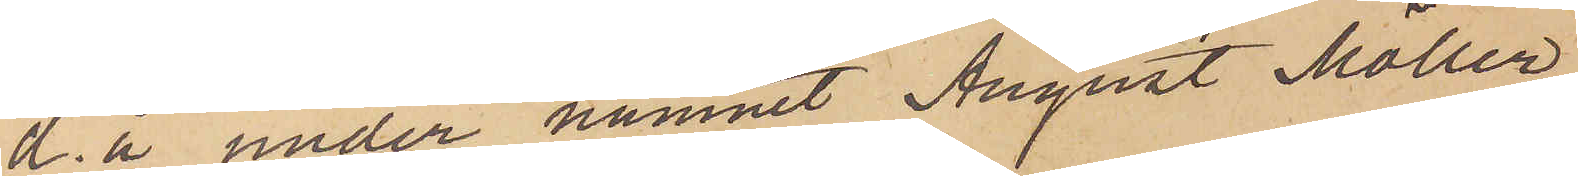d. å under namnet August Möller
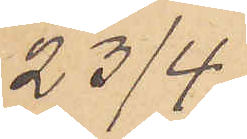23/4.
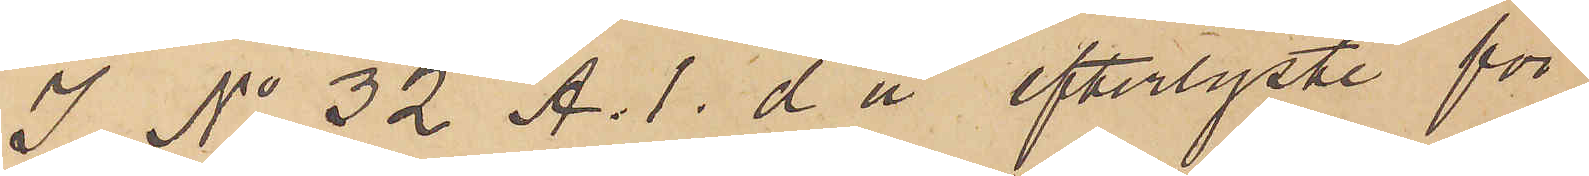I No 32 A. 1. d å efterlyste för
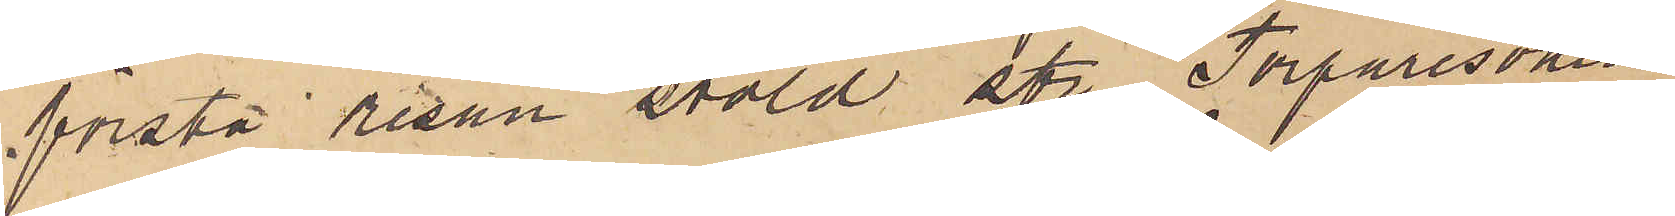första resan stöld str Torparesonen
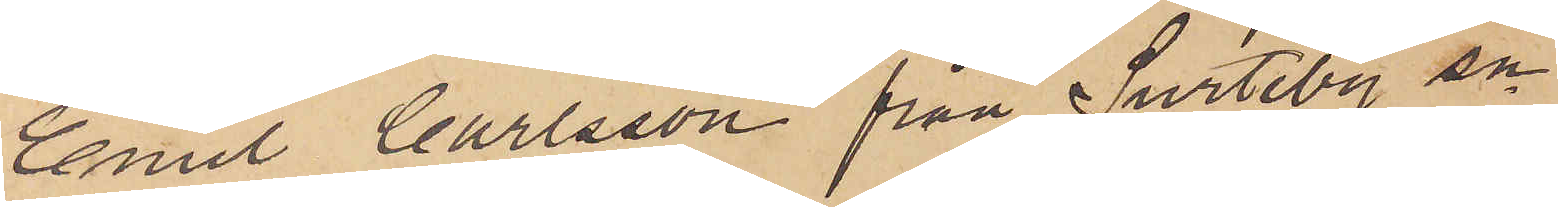Emil Carlsson från Surteby sn
